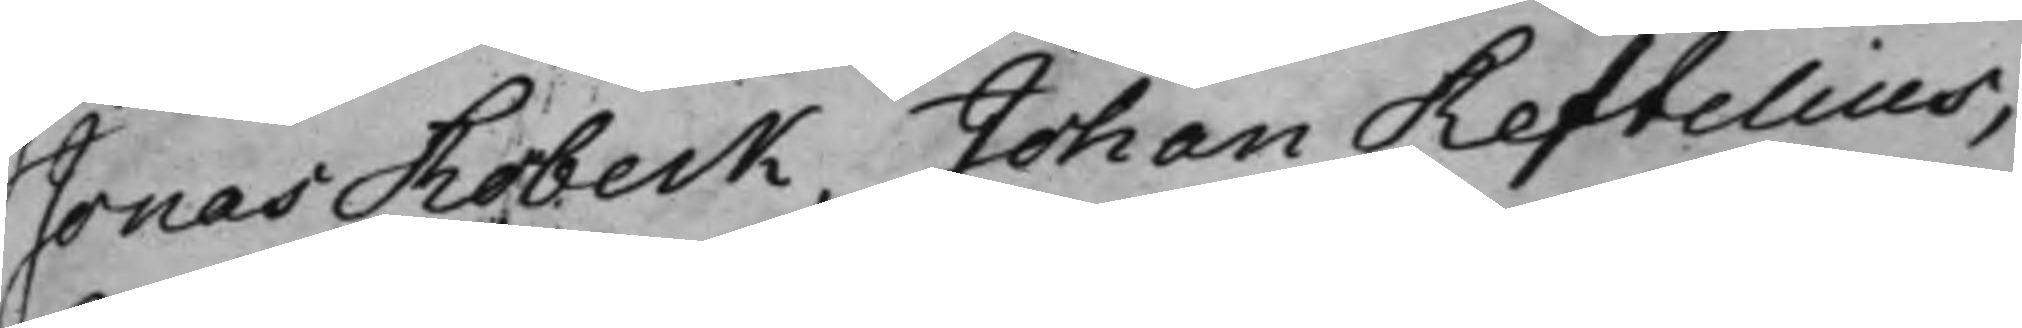Jonas Robeck, Johan Reftelius,
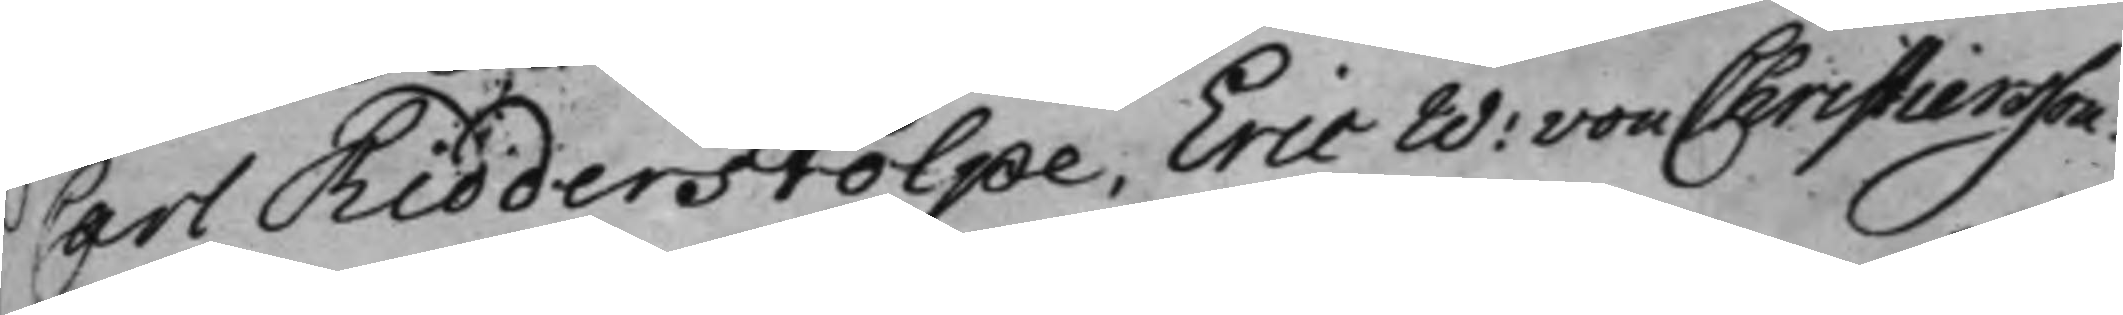Carl Ridderstolpe, Eric W: von Christiersson.
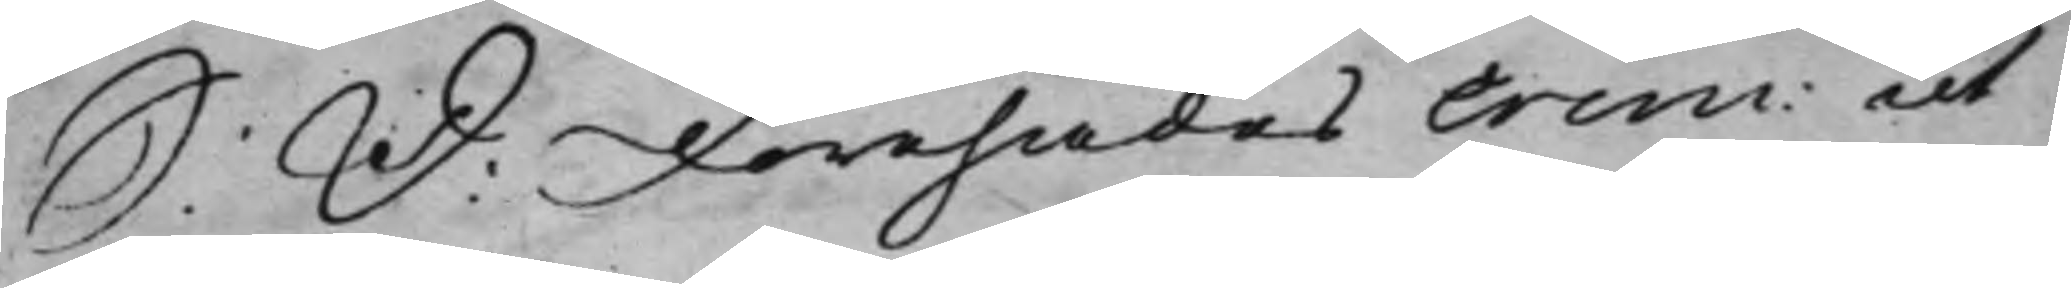S: D: Förehades Crim: ut
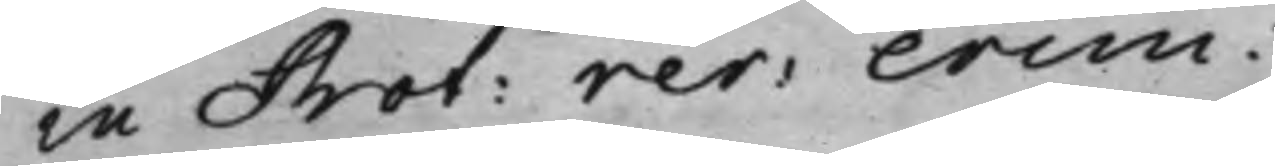in Prot: rer: crim:
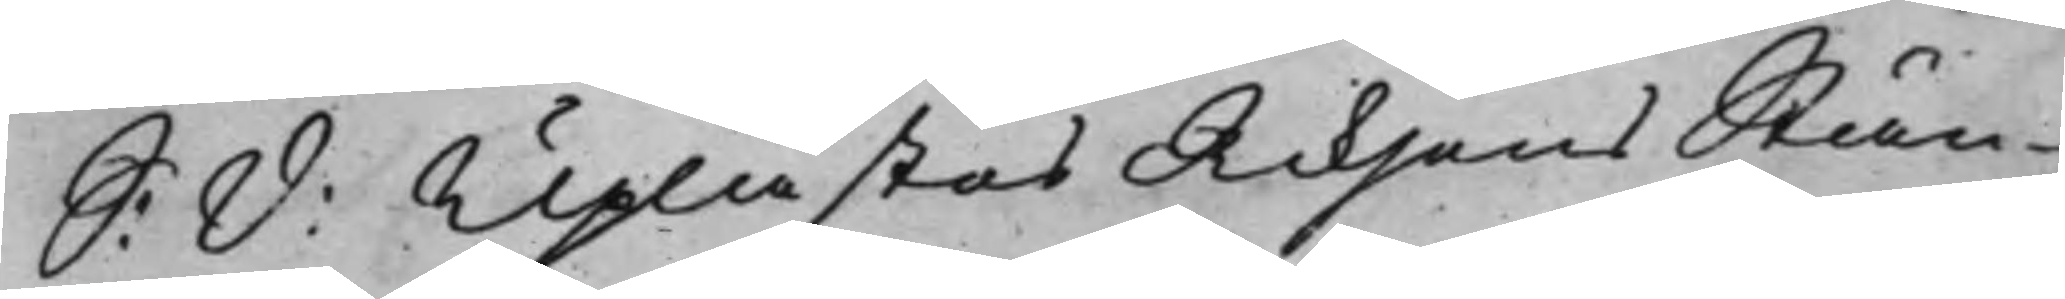S: D: Uplästes Riksens Stän¬
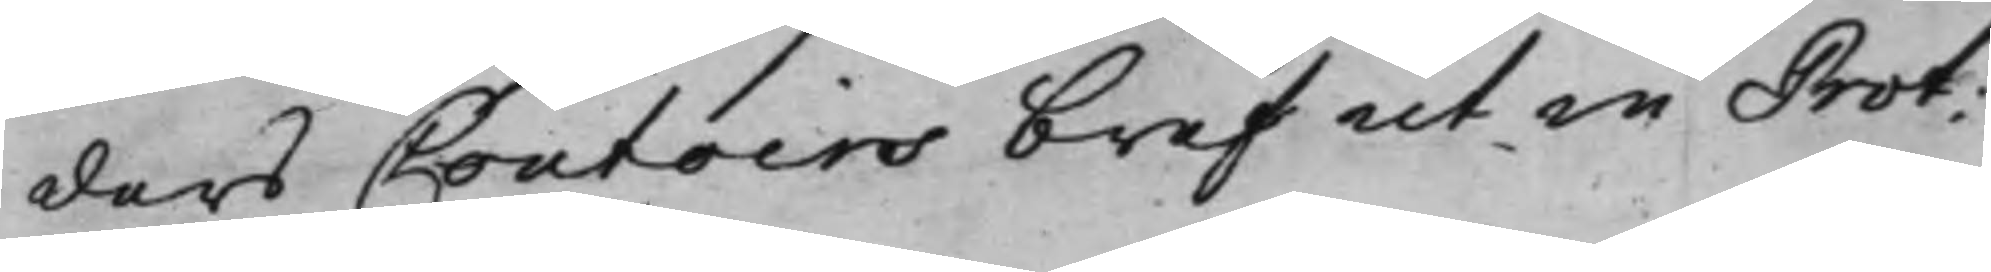ders Contoirs bref ut in Prot:
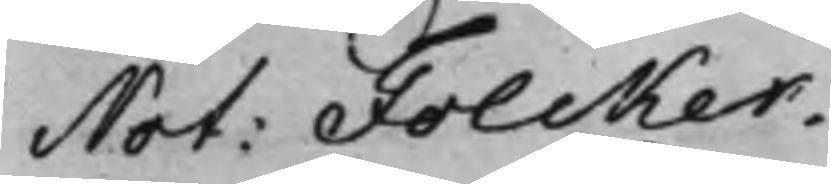Not: Folcker.
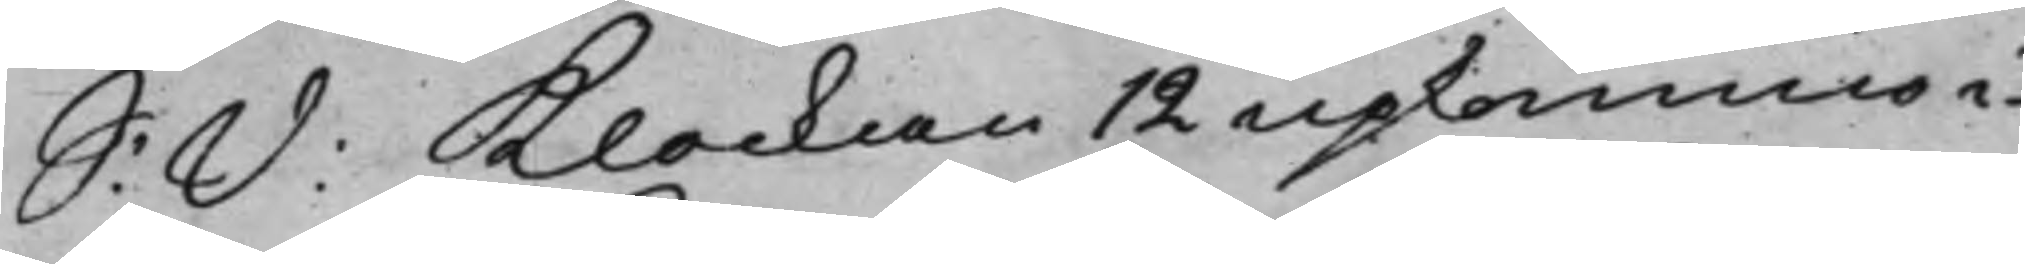S: D: Klockan 12 upkommo i¬
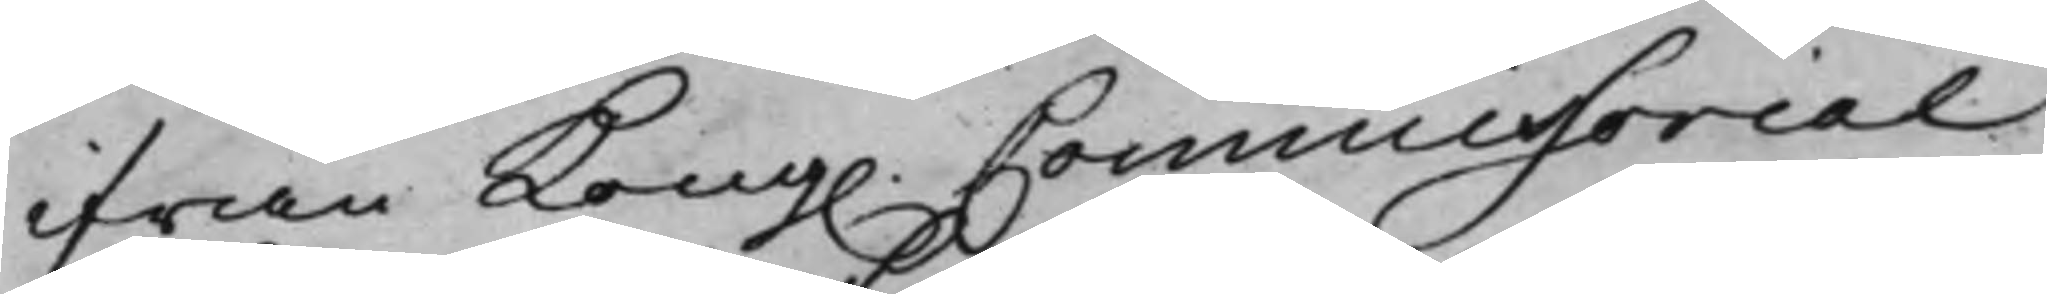från Kong. Commissorial¬
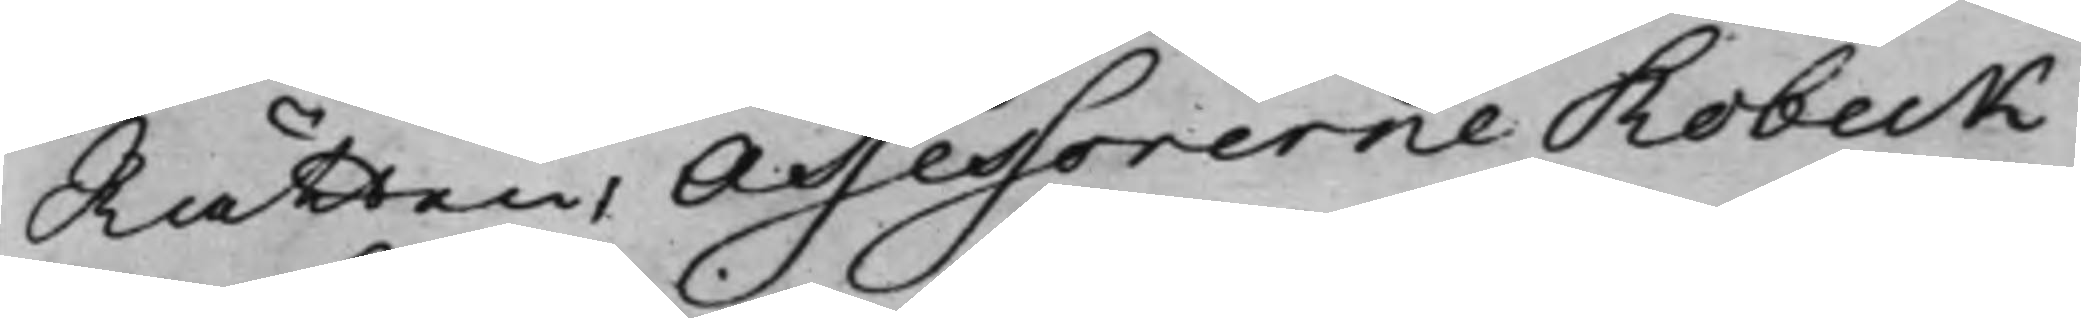Rätten, Assessorerne Robeck
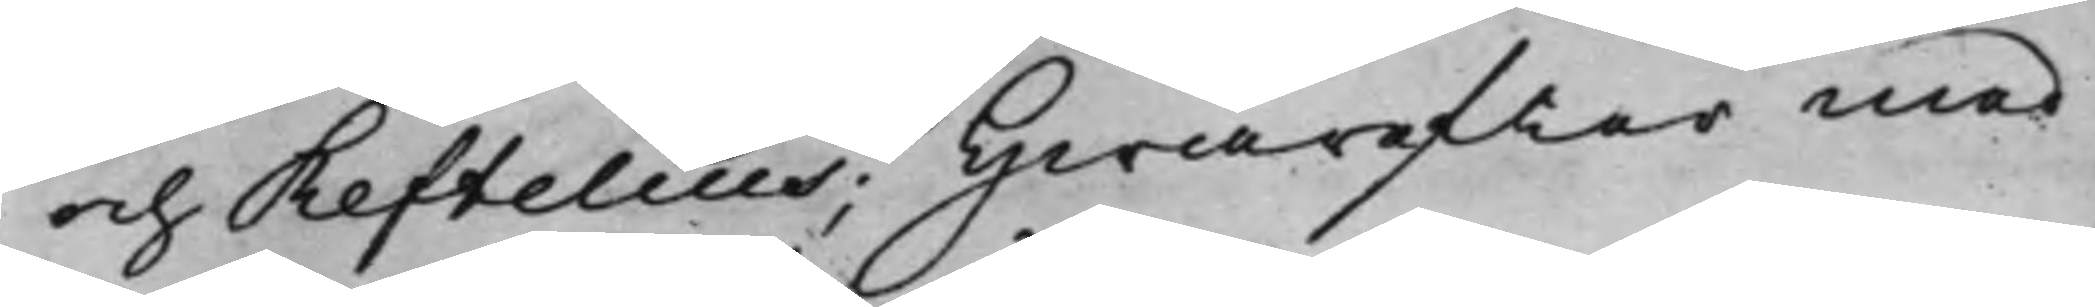och Reftelius; Hwarefter med
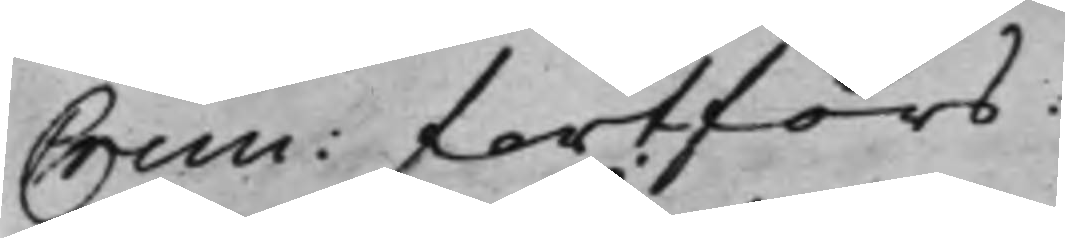Crim: fortfors.
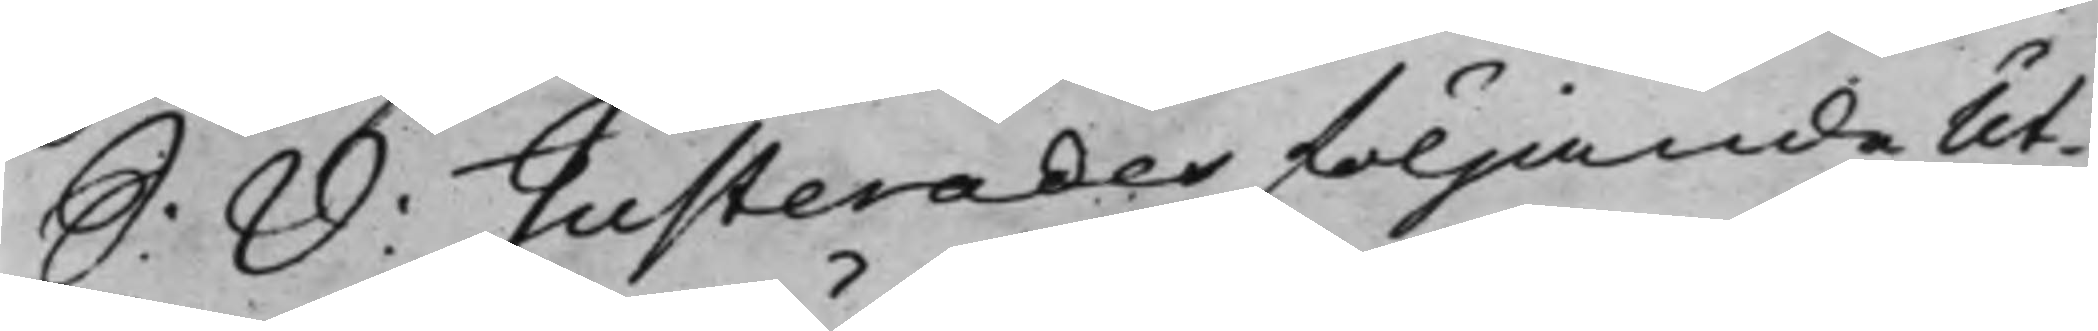S: D: Justerades Följande Ut¬
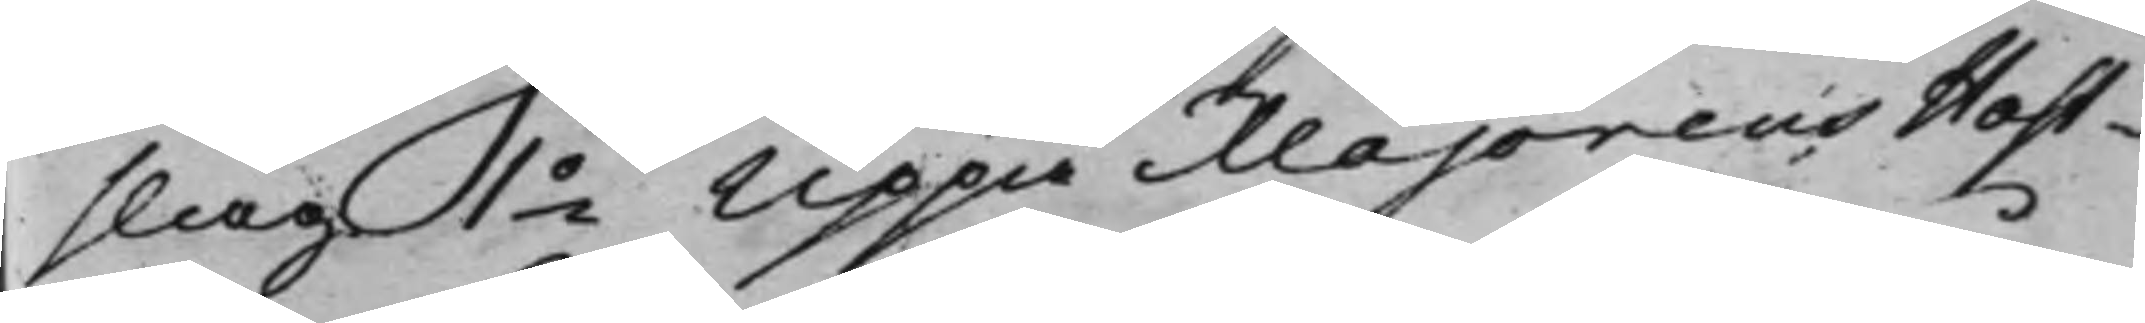slag 1o Uppå Majorens Host¬
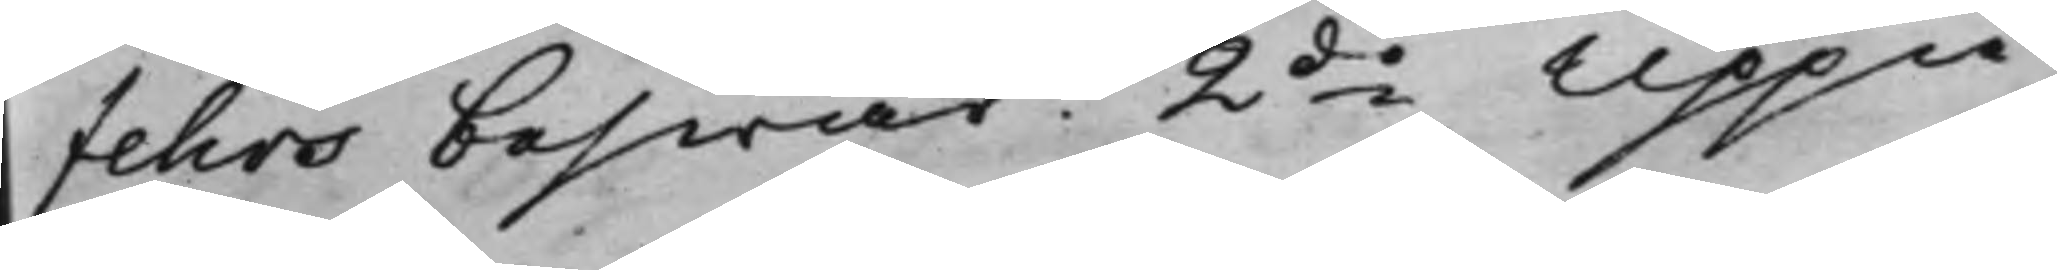fehrs beswär. 2do Uppå
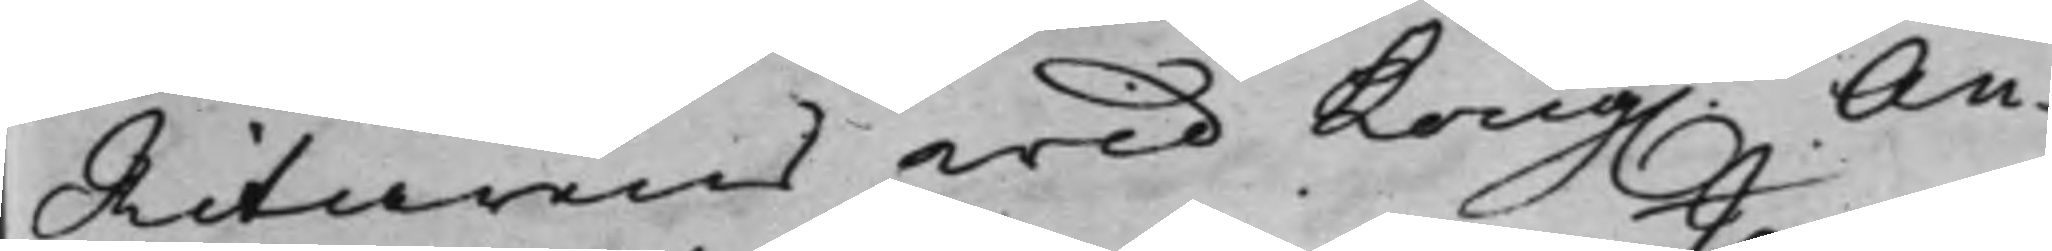Ritarens wid Kong. An¬
